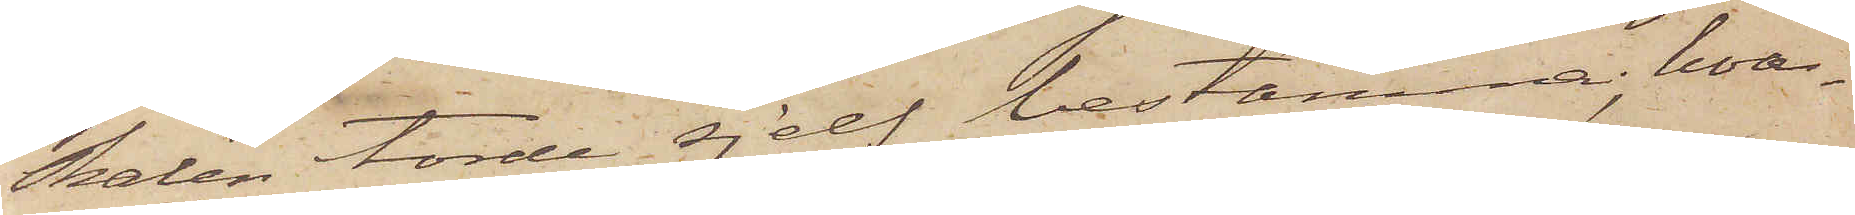skalen torde sjelf bestämma; hvar¬
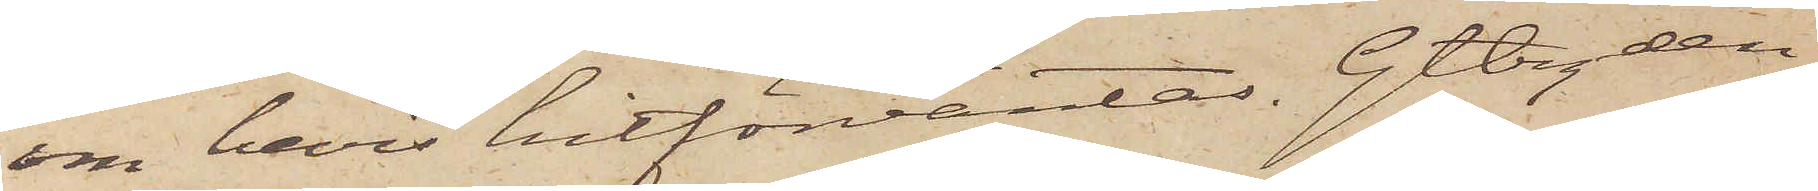om bevis hitförväntas. Gtbrg den
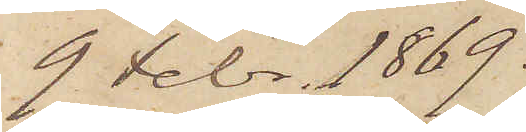9 Febr. 1869.
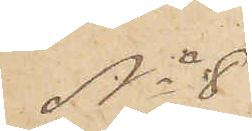No 8
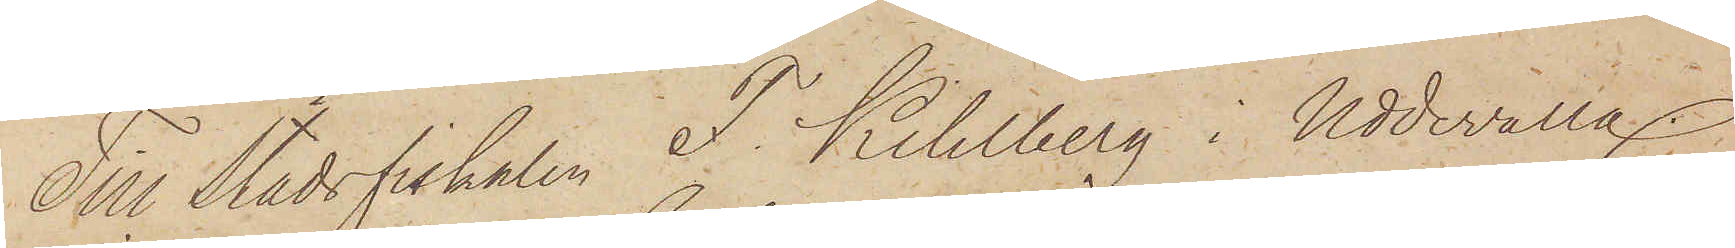Till Stadsfiskalen F. Kihlberg i Uddevalla.
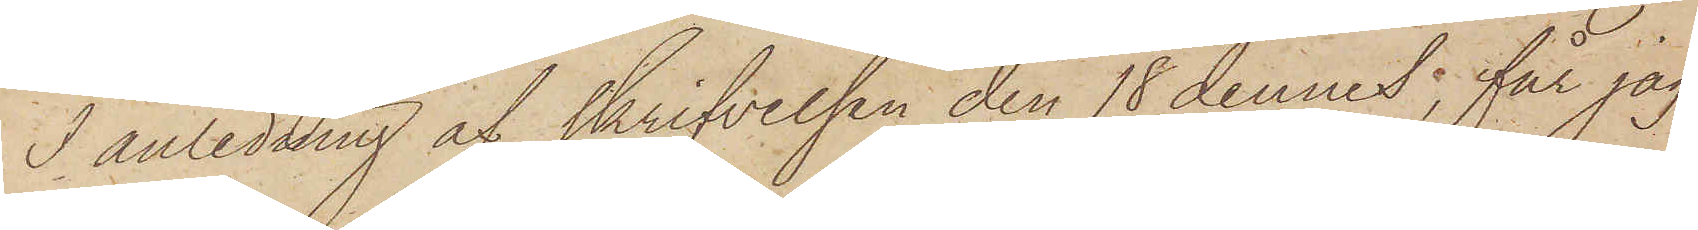I anledning af skrifvelsen den 18 dennes, får jag
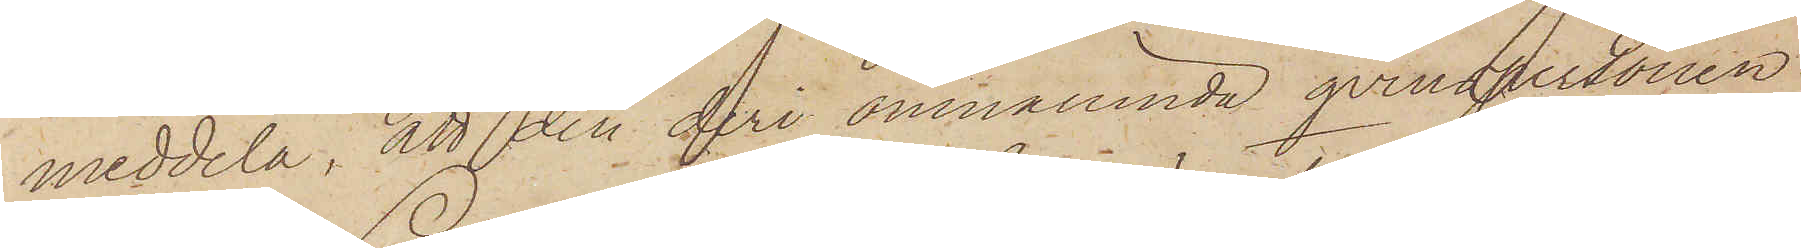meddela, att den deri omnämnda qvinspersonen
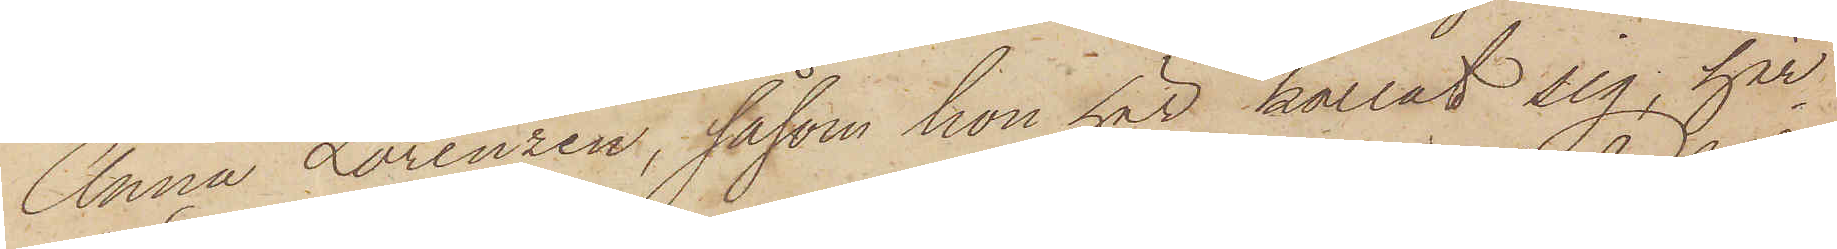Anna Lorenzen, såsom hon här kallat sig, här¬
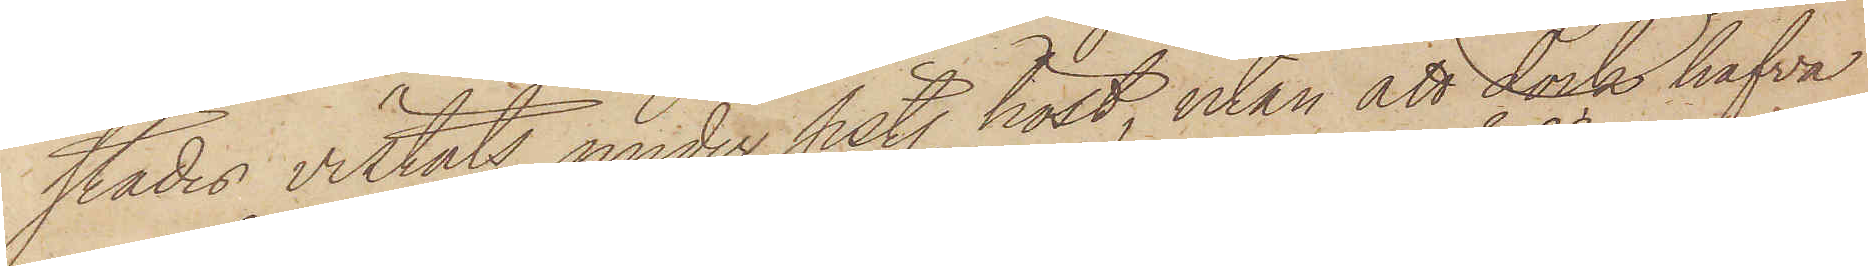städes vistats under sist. höst, utan att dock hafva
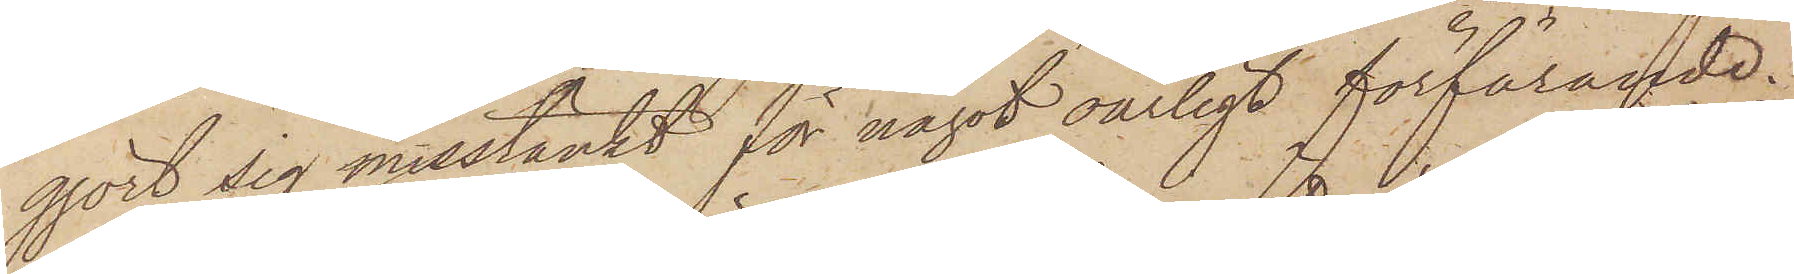gjort sig misstänkt för något oärligt förförande.
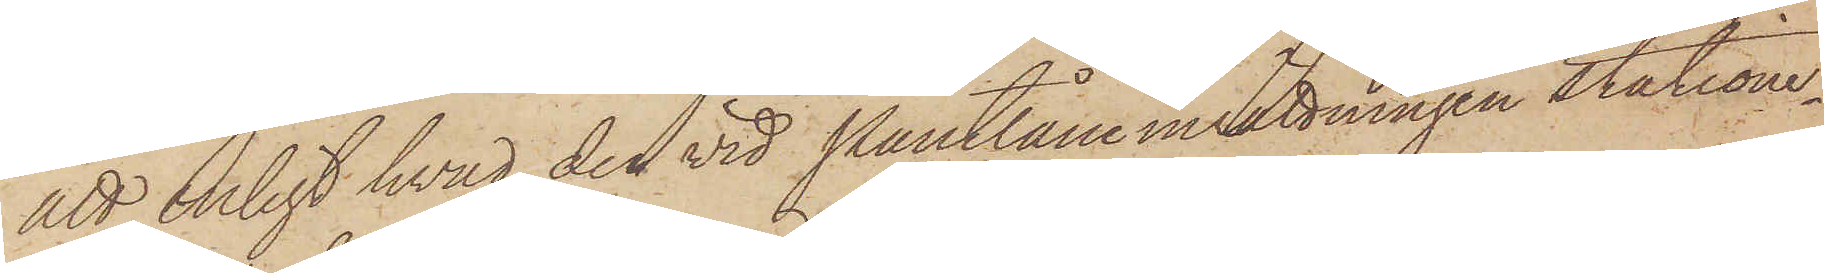att enligt hvad den vid Pantlåneinrättningen statione¬
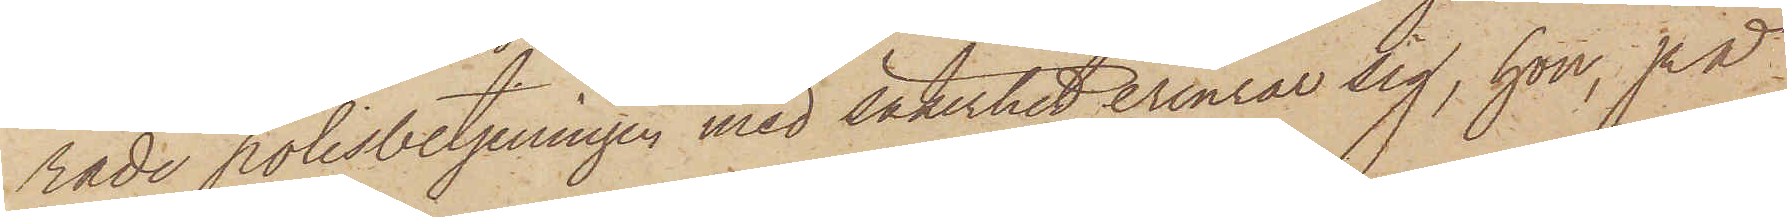rade polisbetjeningen med säkerhet erinrar sig, hon, på
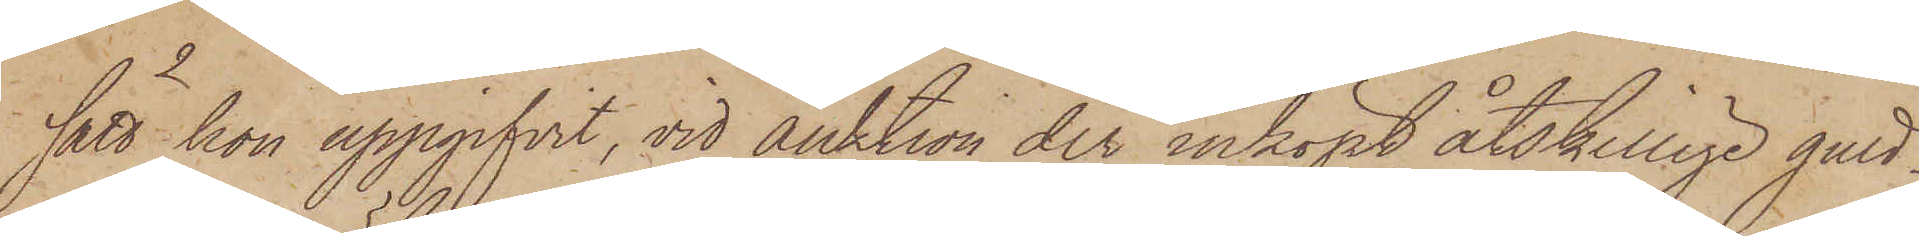sätt hon uppgifvit, vid auktion der inköpt åtskillige guld¬
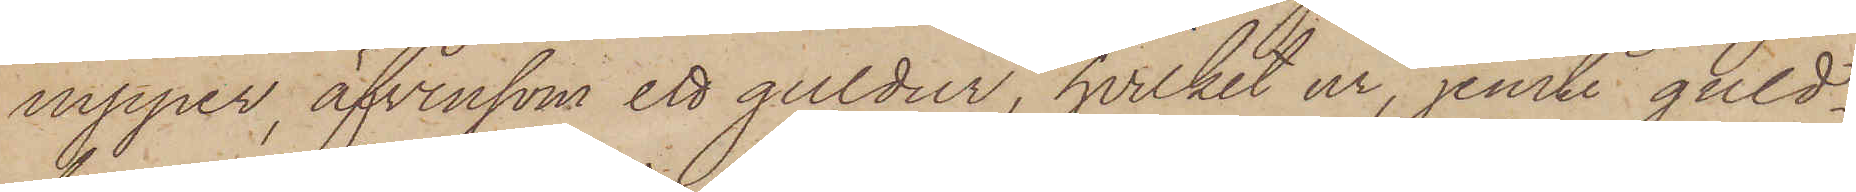nipper, äfvensom ett guldur, hvilket ur, jemte guld¬
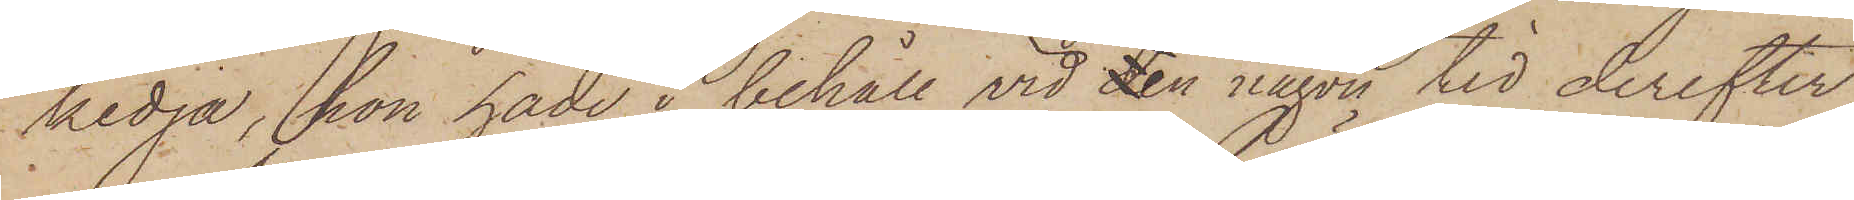kedja, hon hade i behåll vid den någon tid derefter
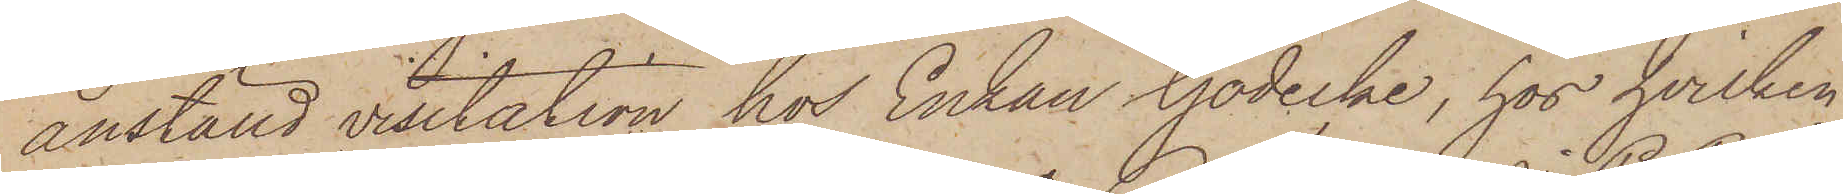anställd visitation hos Enkan Gödecke, hos hvilken
